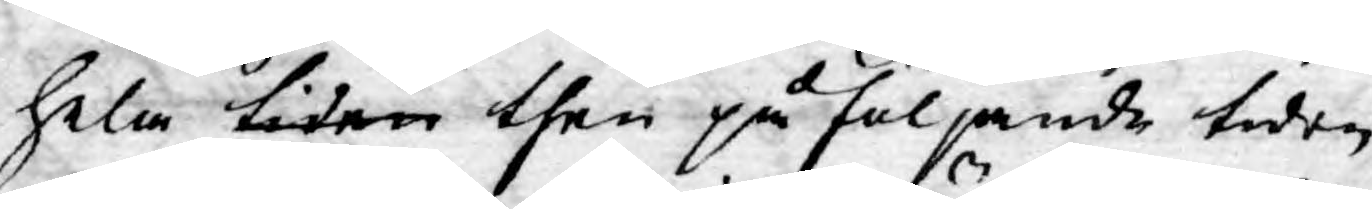hela tiden then på följande tiden
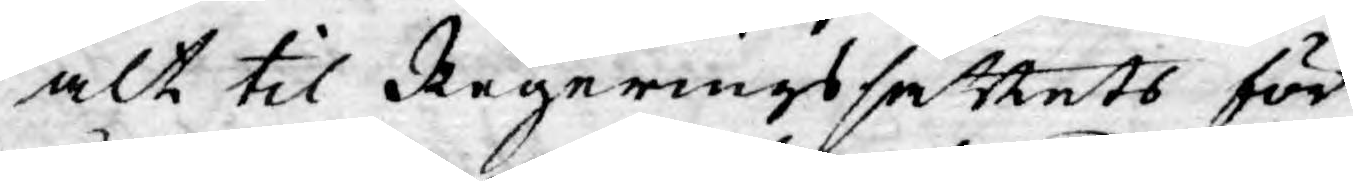alt til Regerings sättets för¬
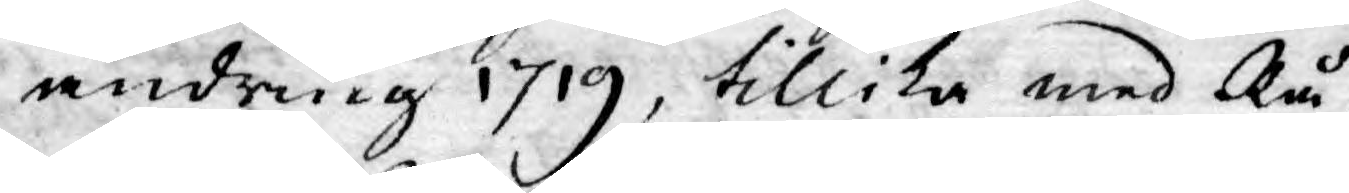ändring 1719, tillika med Rå¬
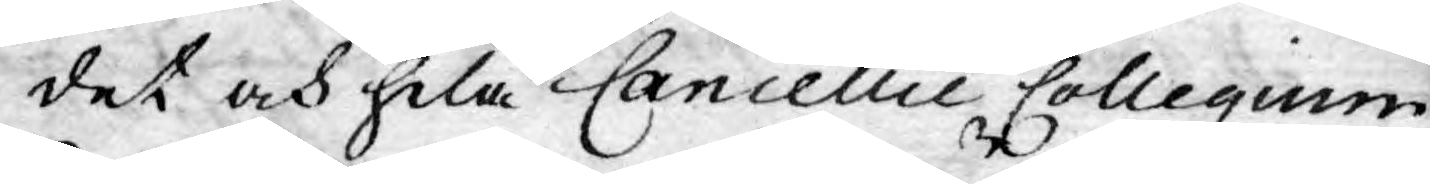det och hela Cancellie Collegium
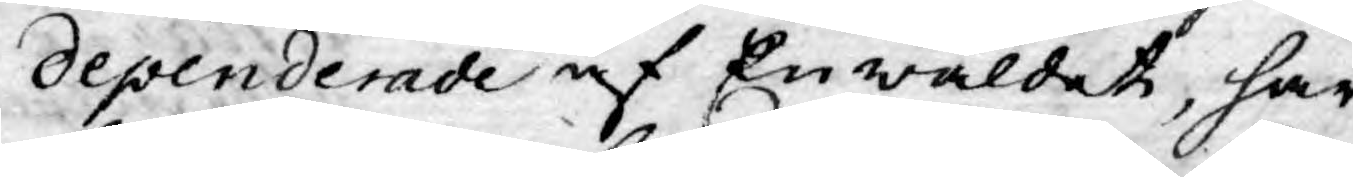dependerade af Enwäldet, har
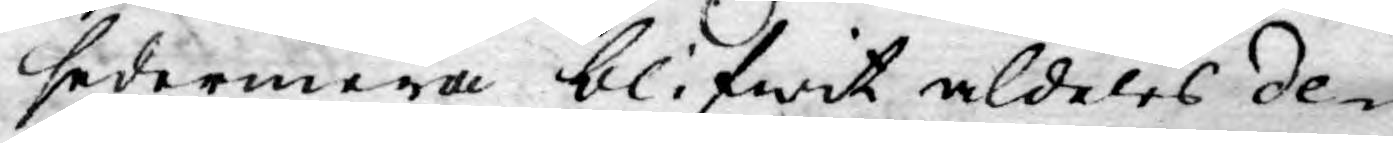sedermera blifwit aldeles de¬
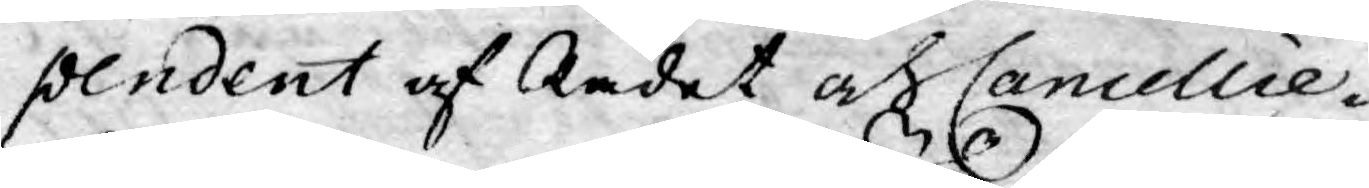pendent af Rådet af Cancellie-
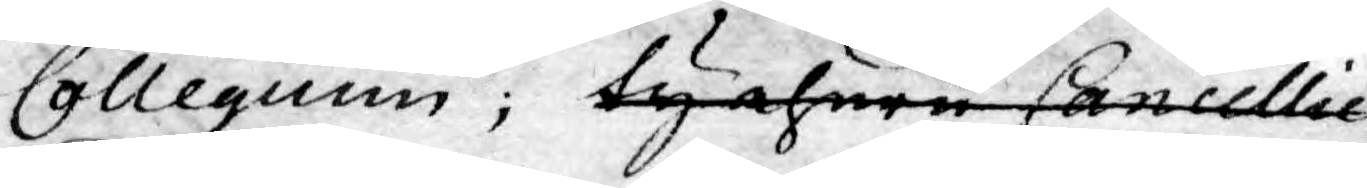Collegium; ty ehuru Cancellie
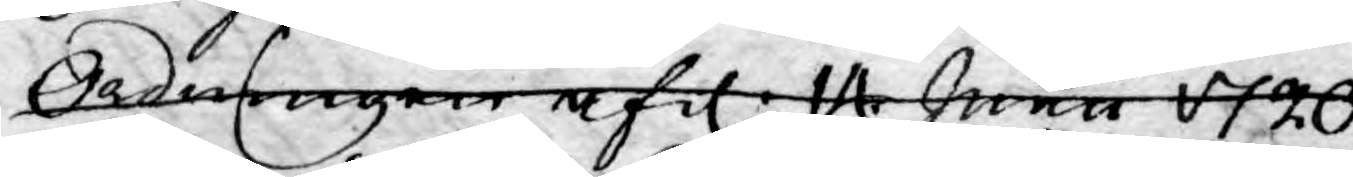Ordningen af d. 14 Junii 1720
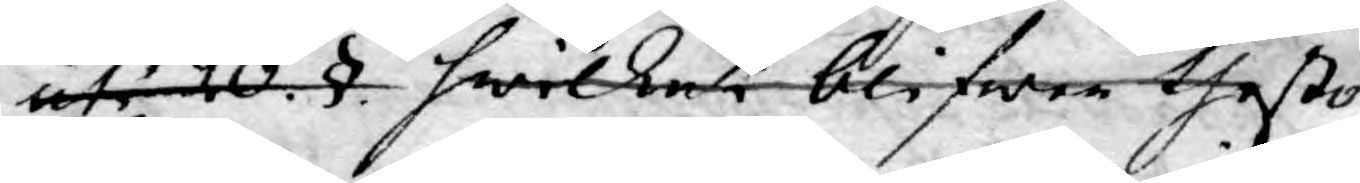uti 20.§. hwilket blifwer thesto
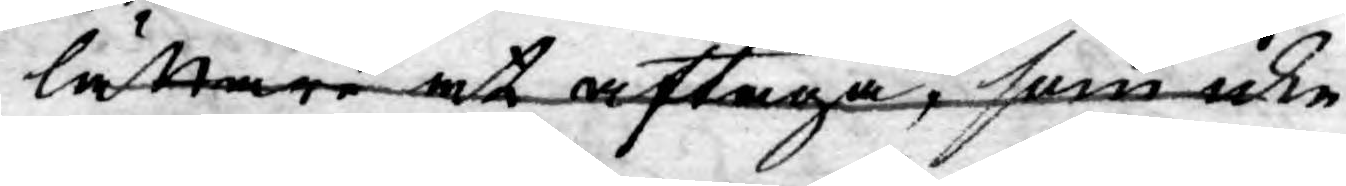lättare at aftaga, som icke
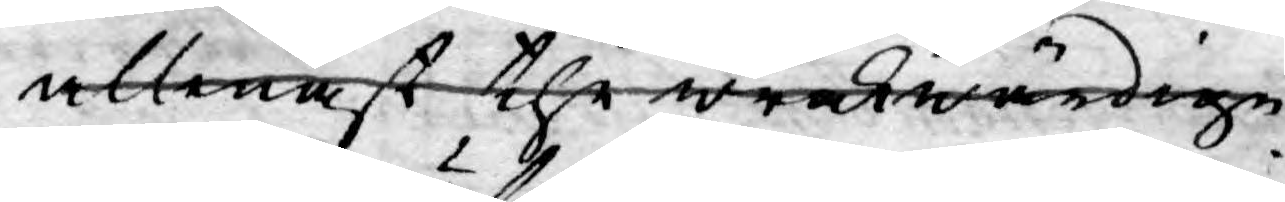allenast the wederwärdige
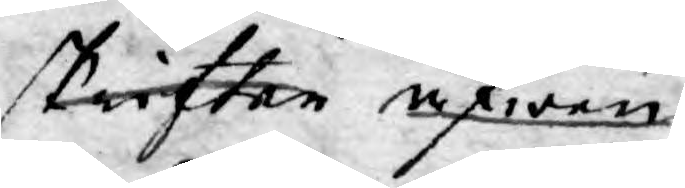skrifter äfwen
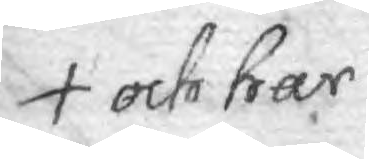och har
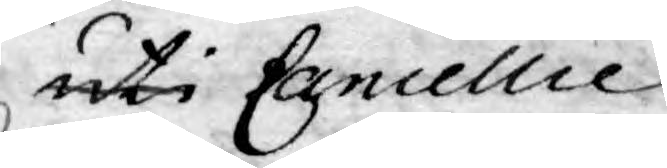uti Cancellie
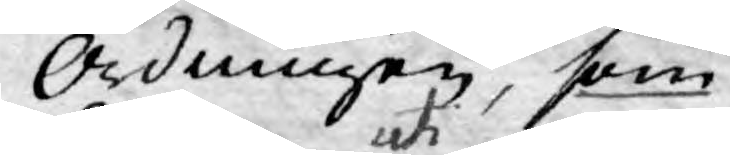Ordningen, som
